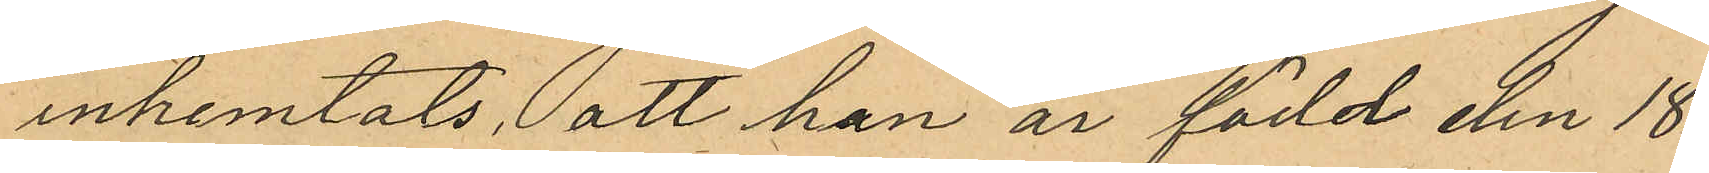inhemtats, att han är född den 18
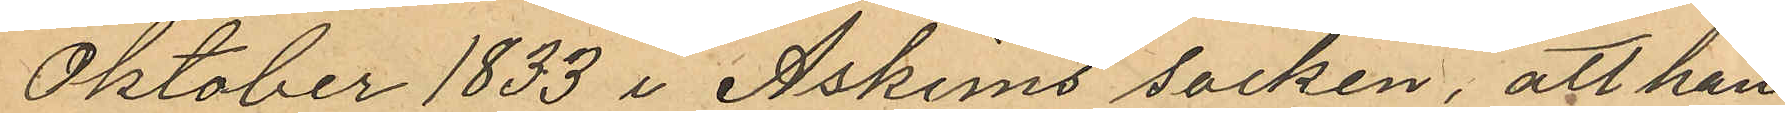Oktober 1833 i Askims socken, att han
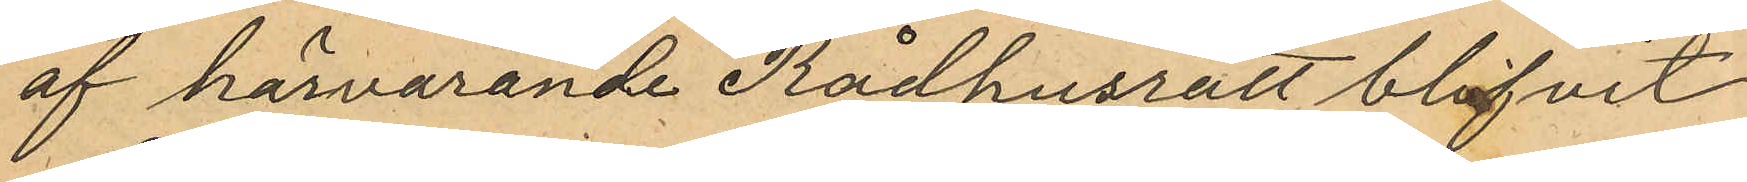af härvarande Rådhusrätt blifvit
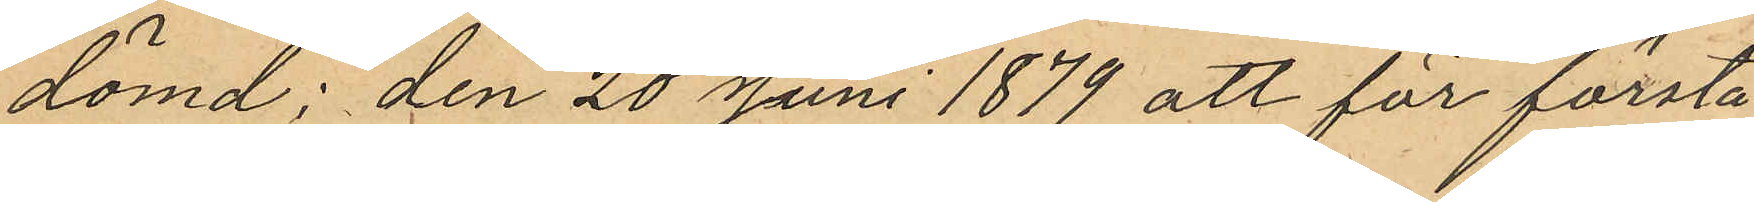dömd: den 20 Juni 1879 att för första
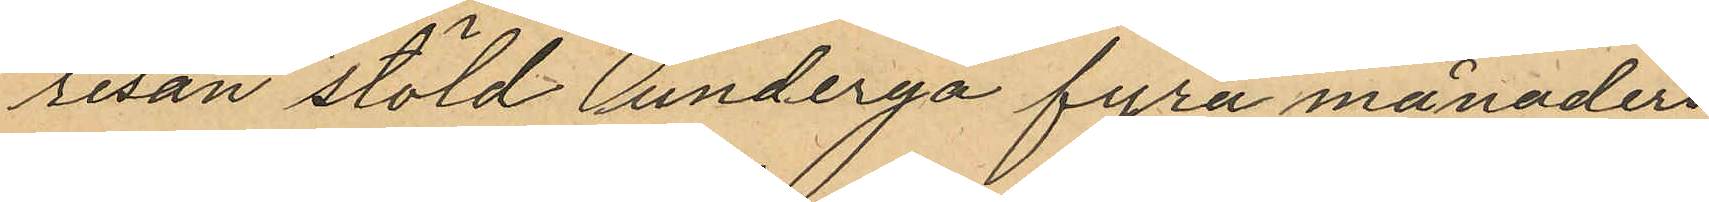resan stöld undergå fyra månaders
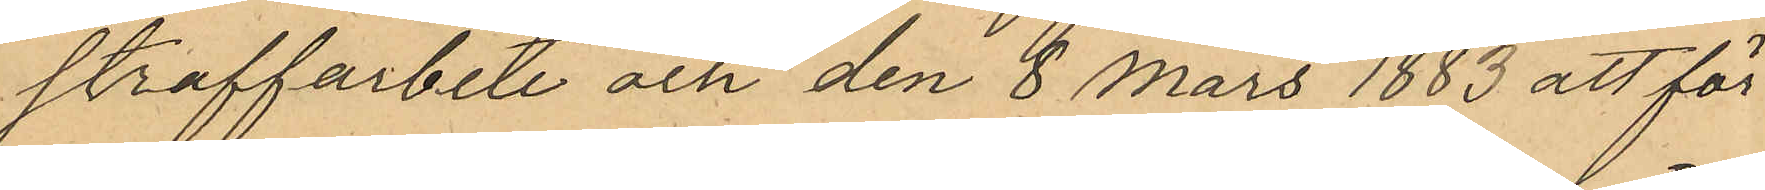straffarbete och den 8 Mars 1883 att för
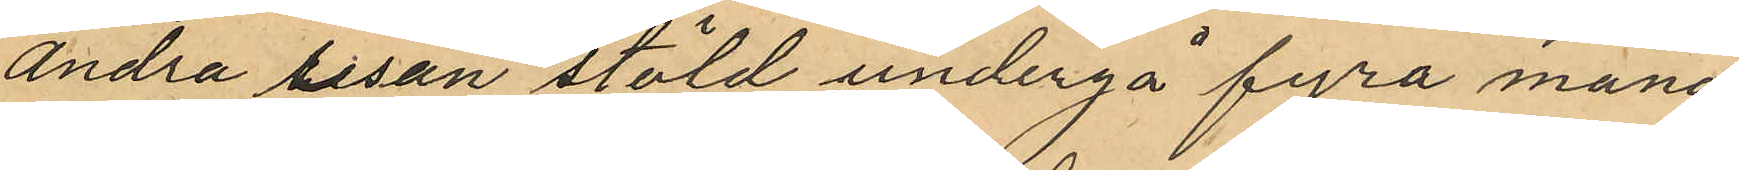andra resan stöld undergå fyra måna¬
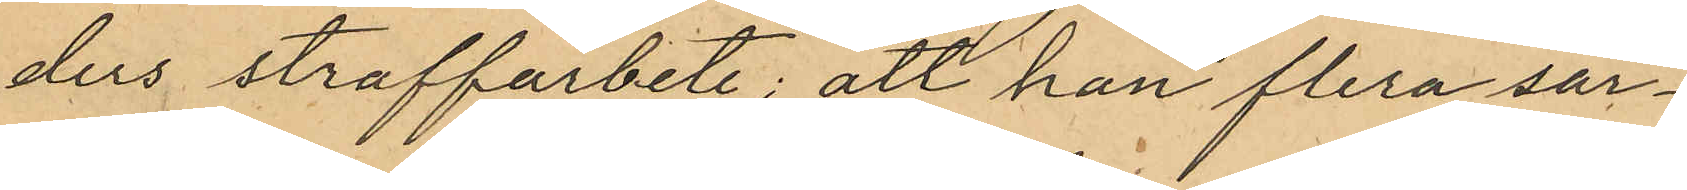ders straffarbete; att han flera sär¬
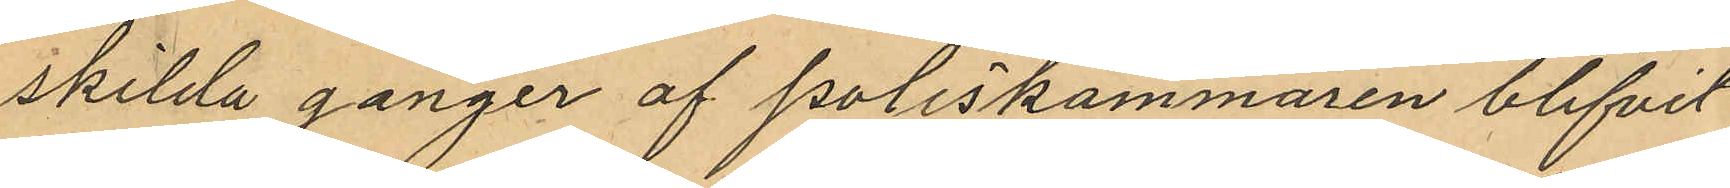skilda gånger af poliskammaren blifvit
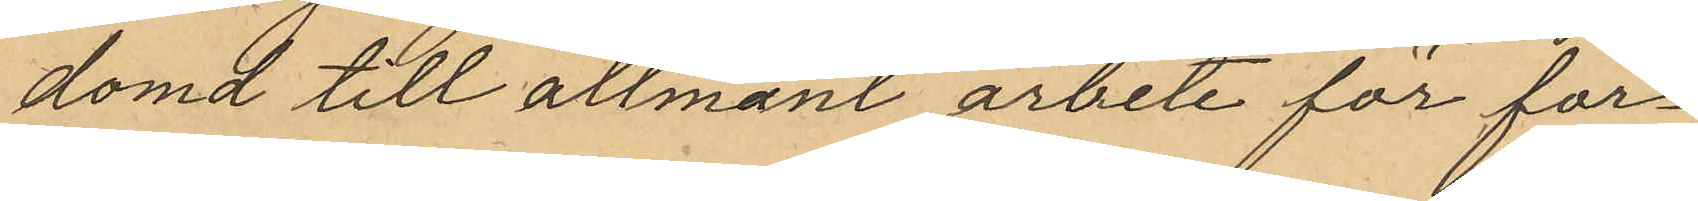dömd till allmänt arbete för för¬
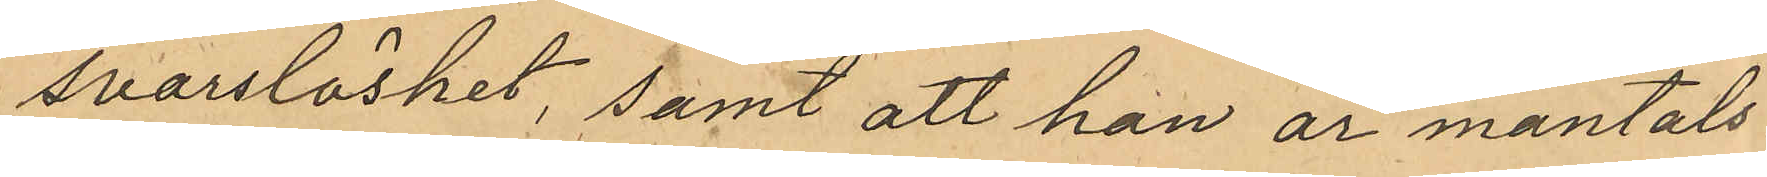svarslöshet, samt att han är mantals
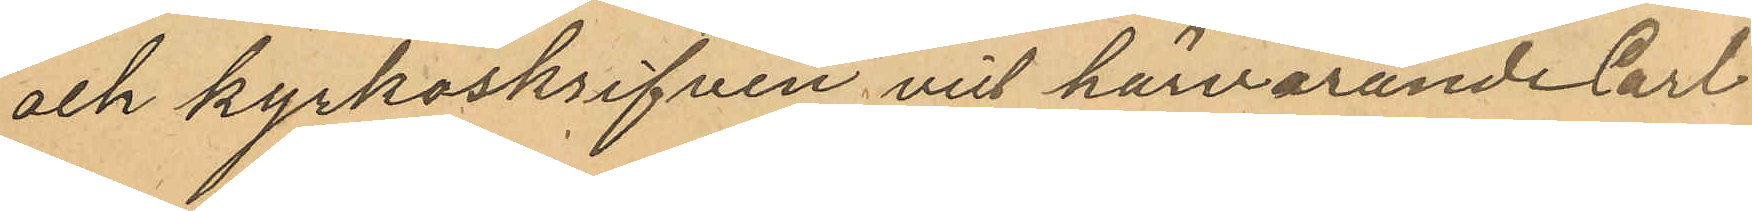och kyrkoskrifven vid härvarande Carl
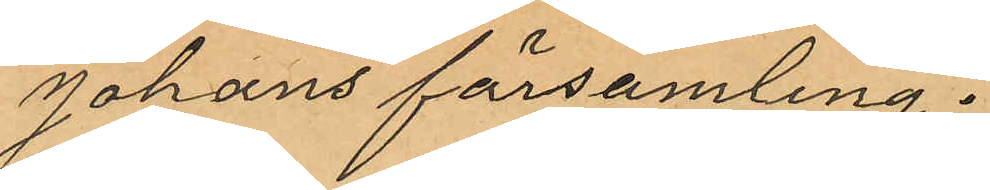Johans församling.
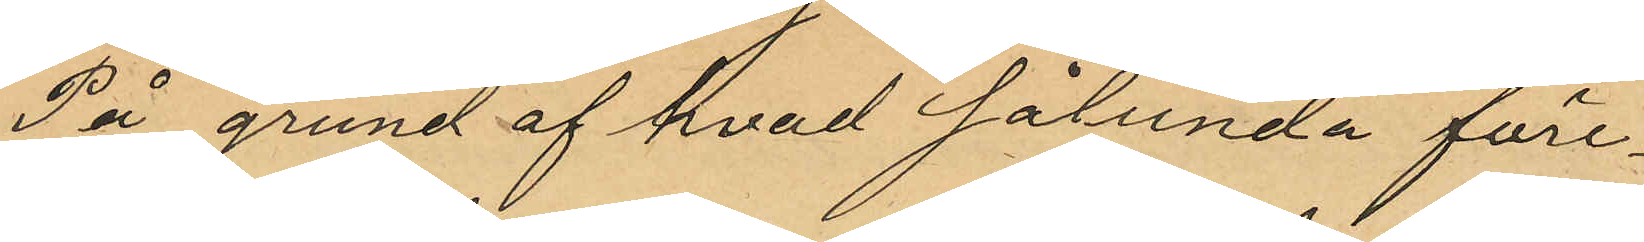På grund af hvad sålunda före¬
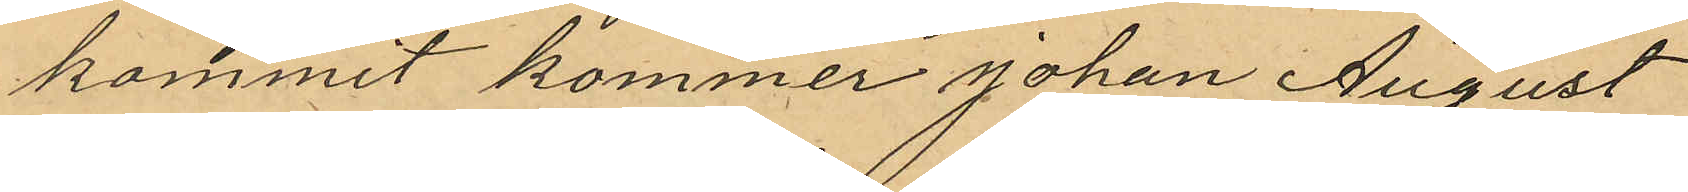kommit kommer Johan August
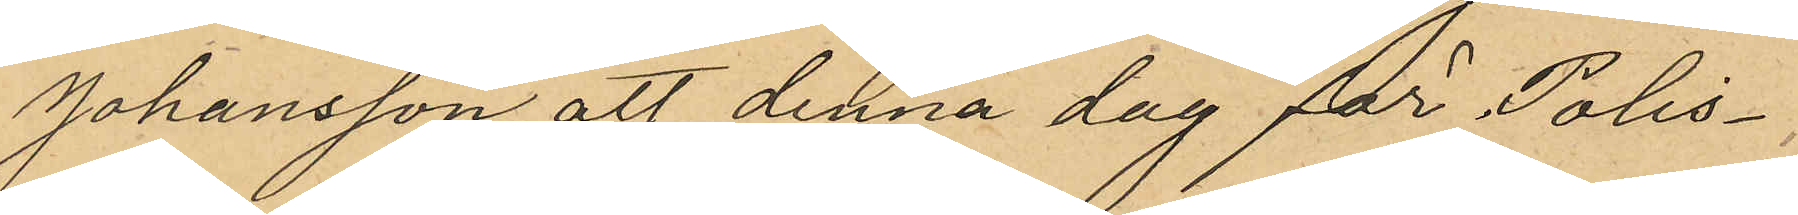Johansson att denna dag för Polis¬
